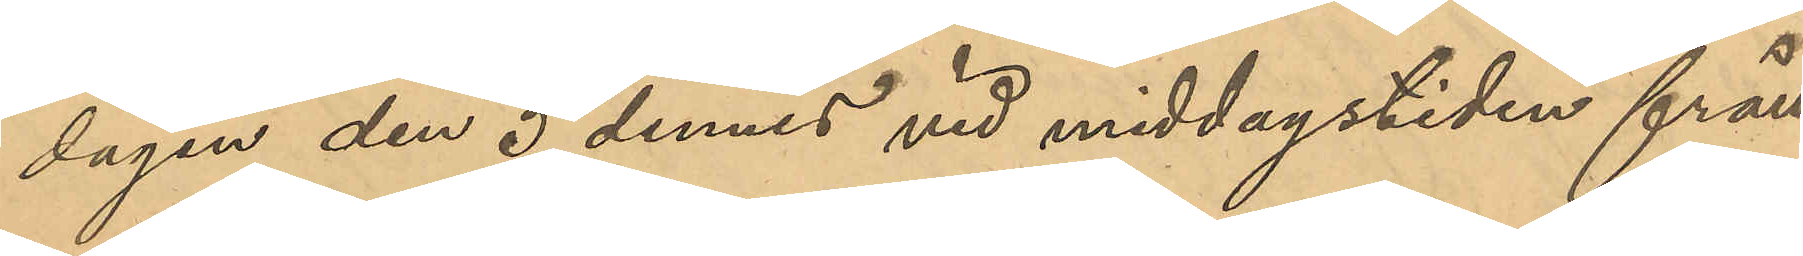dagen den 5 dennes vid middagstiden från
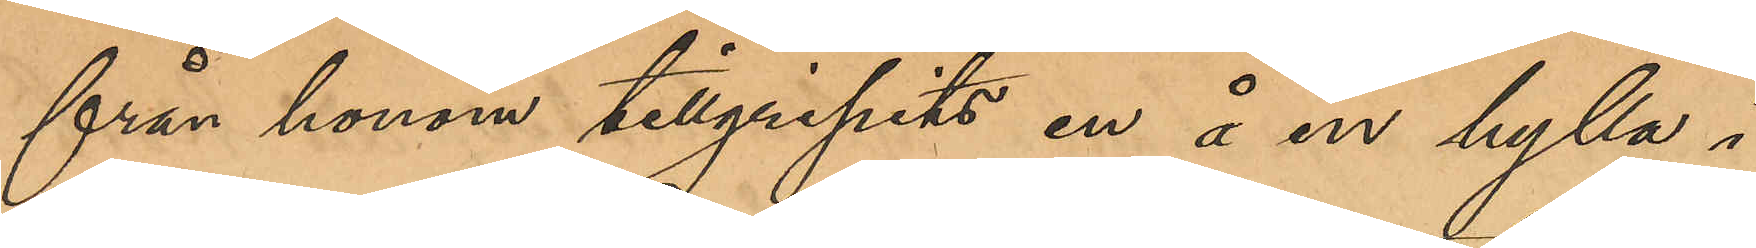från honom tillgripits en å en hylla i
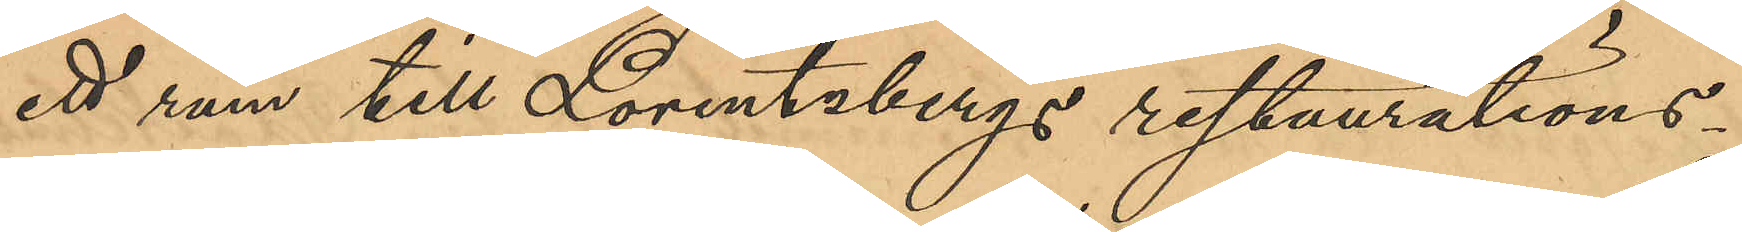ett rum till Lorentzbergs restaurations¬
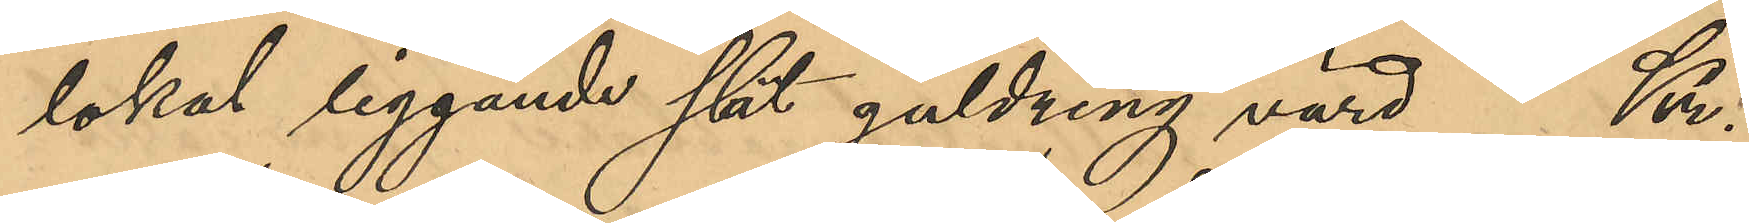lokal liggande slät guldring värd Kr.
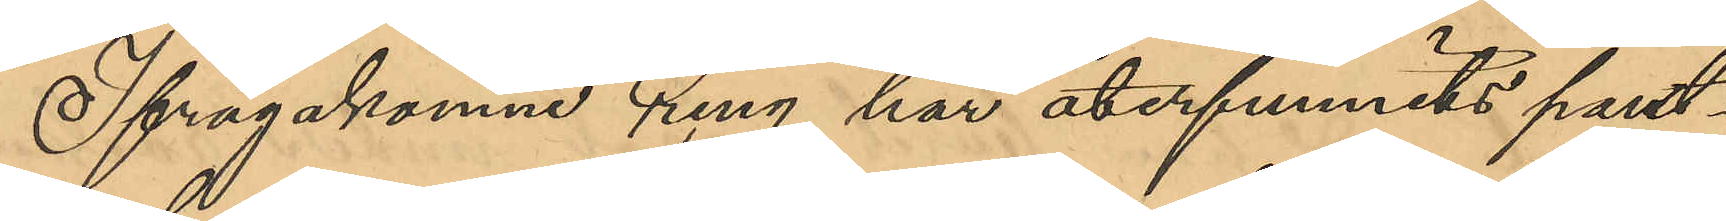Ifrågakomne ring har återfunnits pant¬
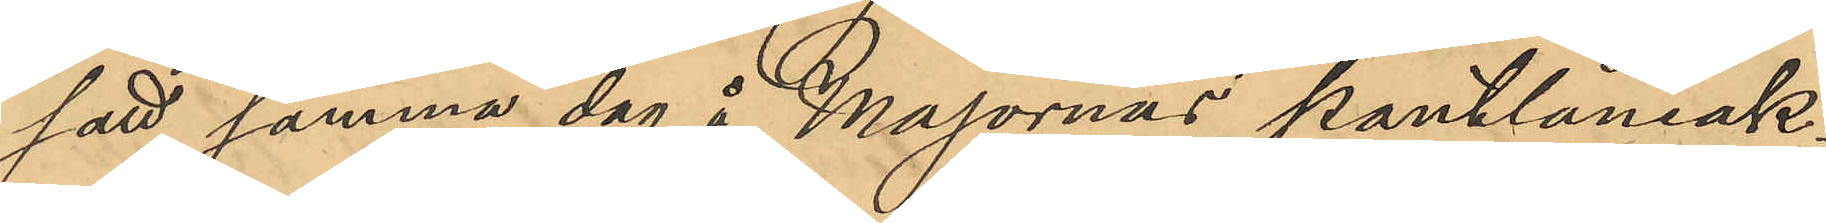satt samma dag å Majornas pantlåneak¬
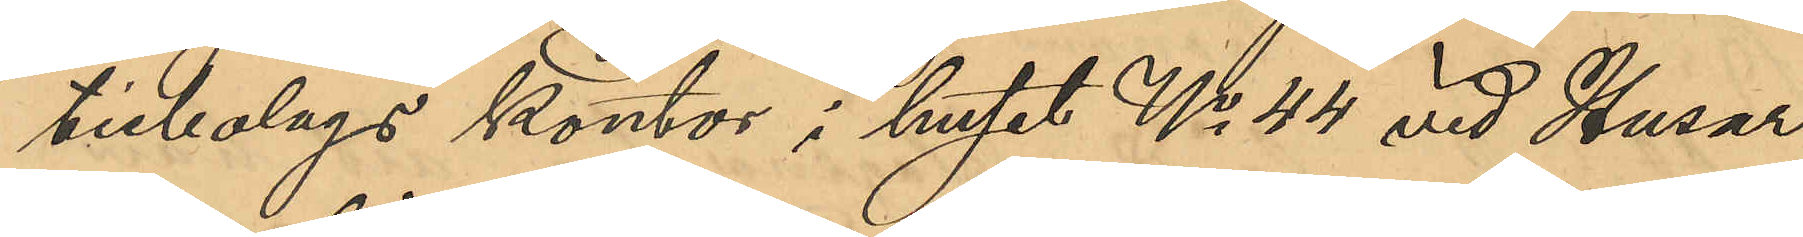tiebolags kontor i huset No 44 vid Husar¬
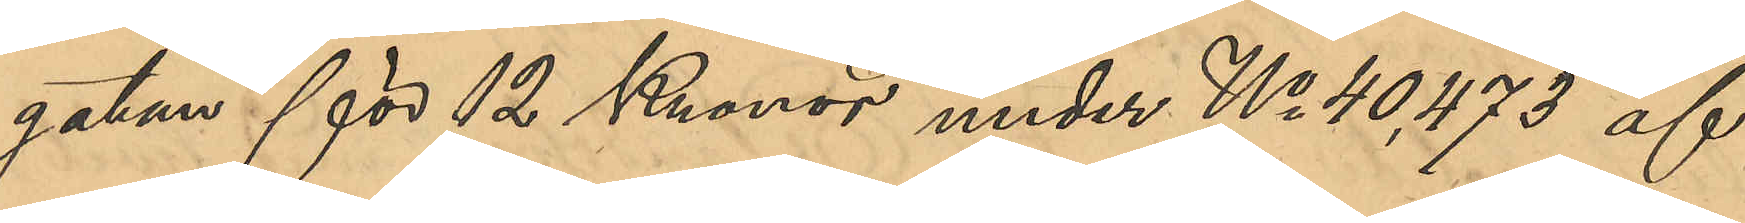gatan för 12 Kronor under No 40,473 af
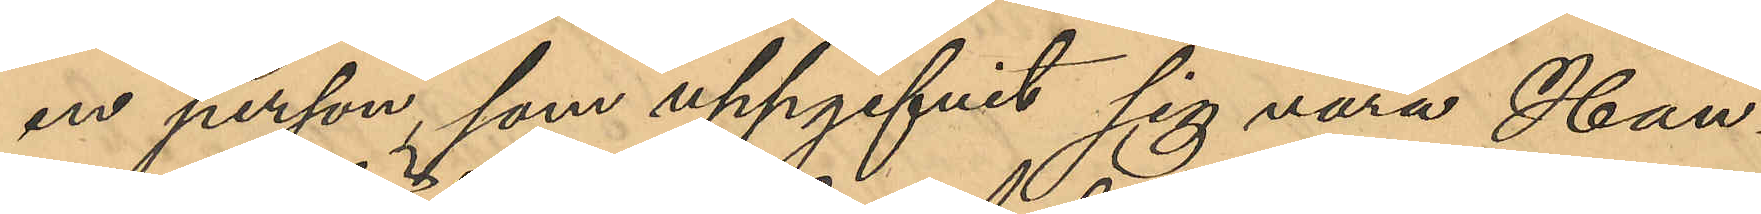en person som uppgifvit sig vara Han¬
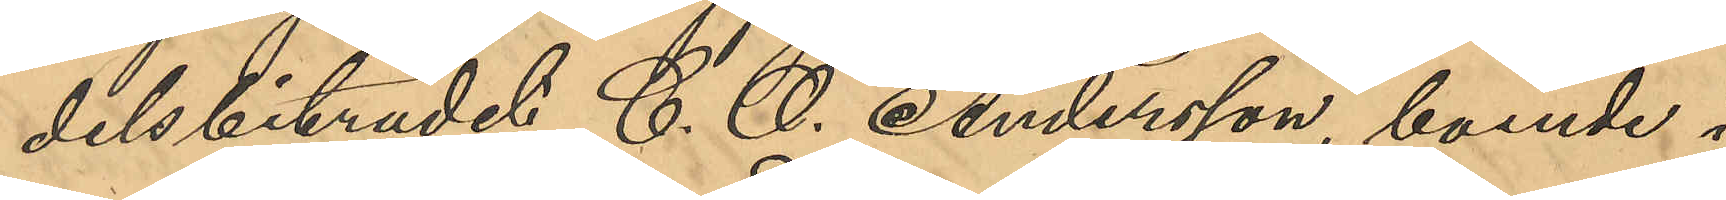delsbiträdet C. O. Andersson, boende i
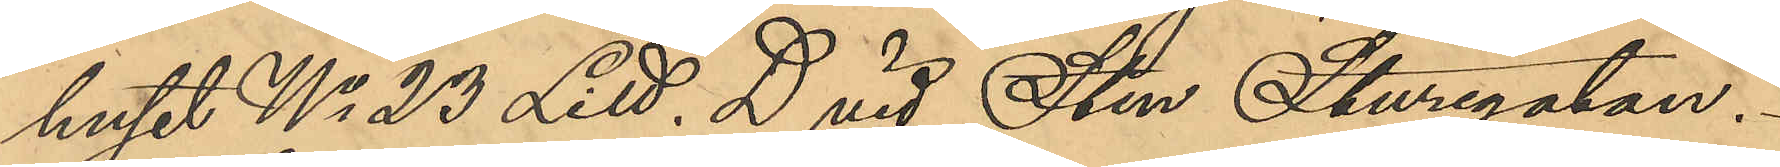huset No 23 Litt. D vid Sten Sturegatan.
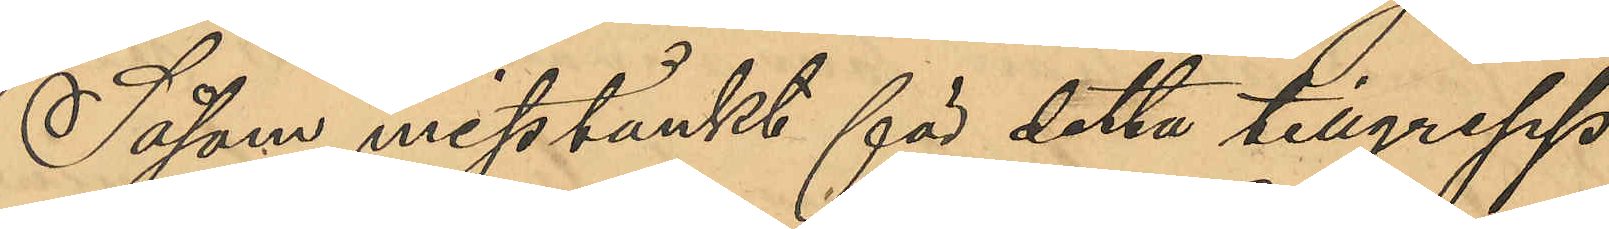Såsom misstänkt för detta tillgrepp
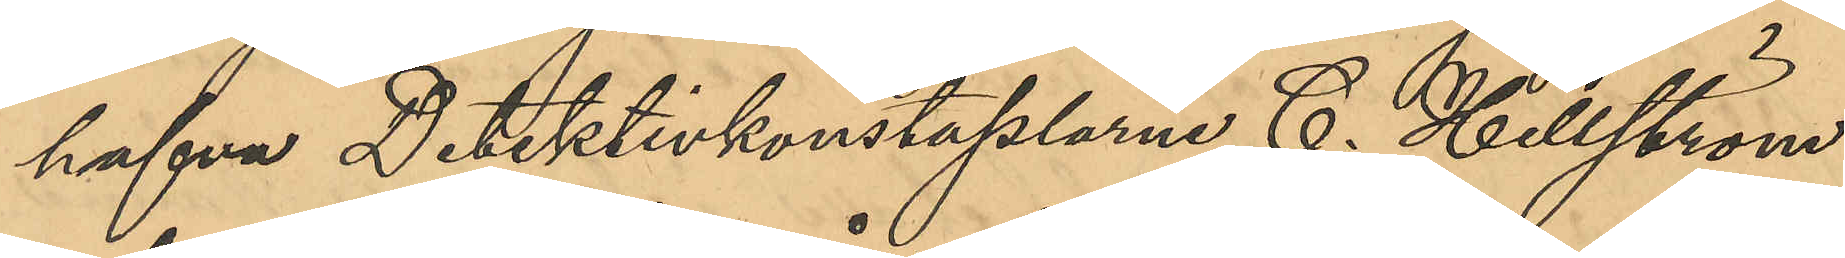hafva Detektivkonstaplarne C. Hellström
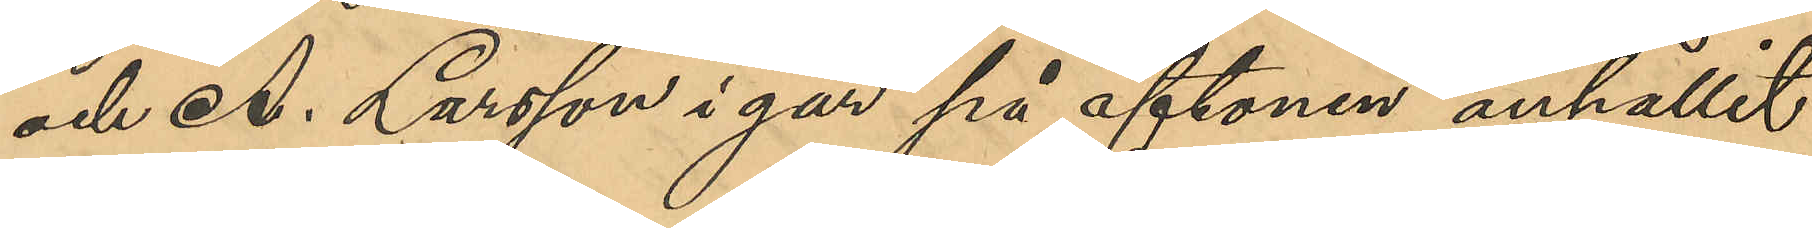och A. Larsson i går på aftonen anhållit
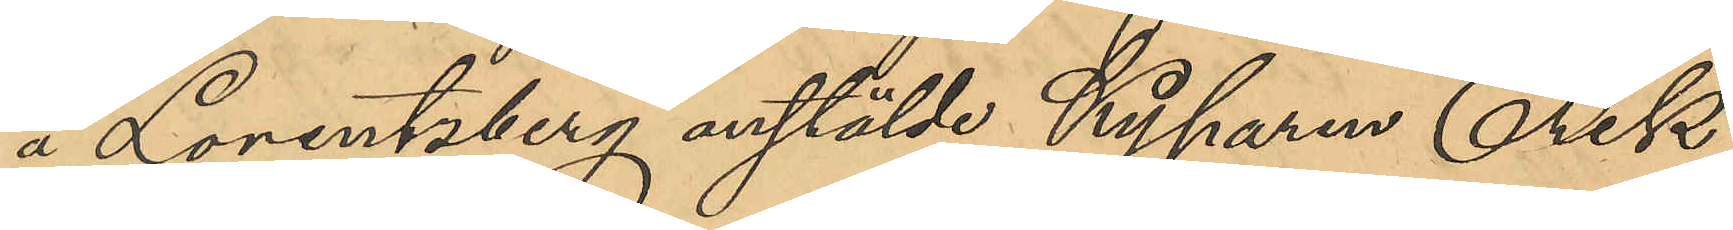å Lorentzberg anstälde Kyparen Erik
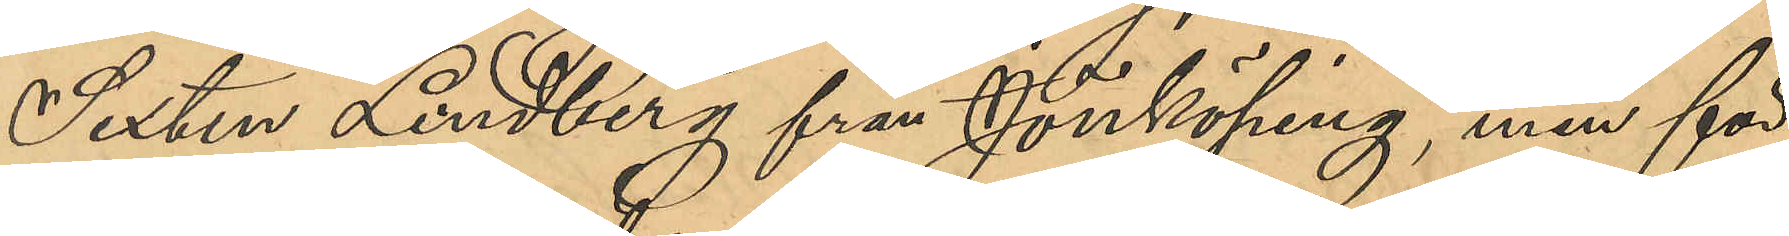Sixten Lindberg från Jönköping, men för
